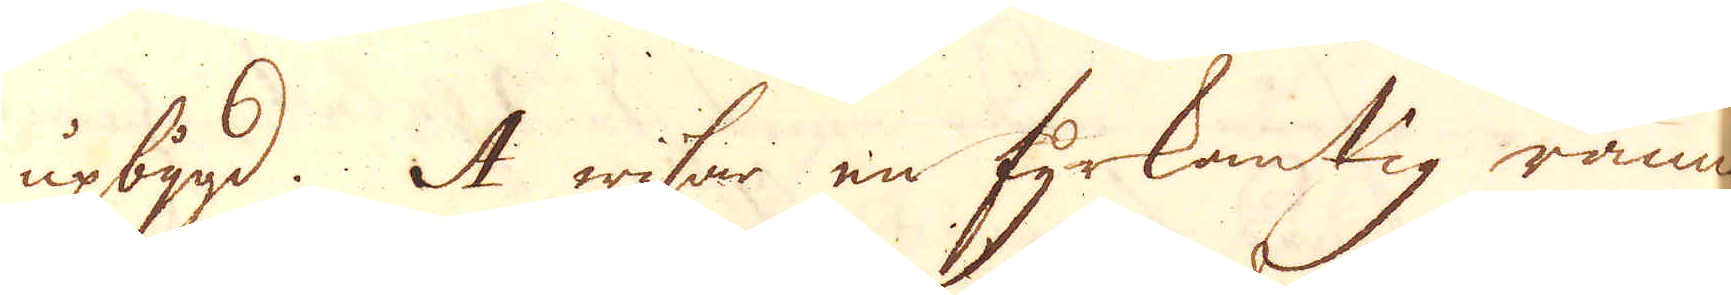upbygd. A wisar en fyrkantig ränna
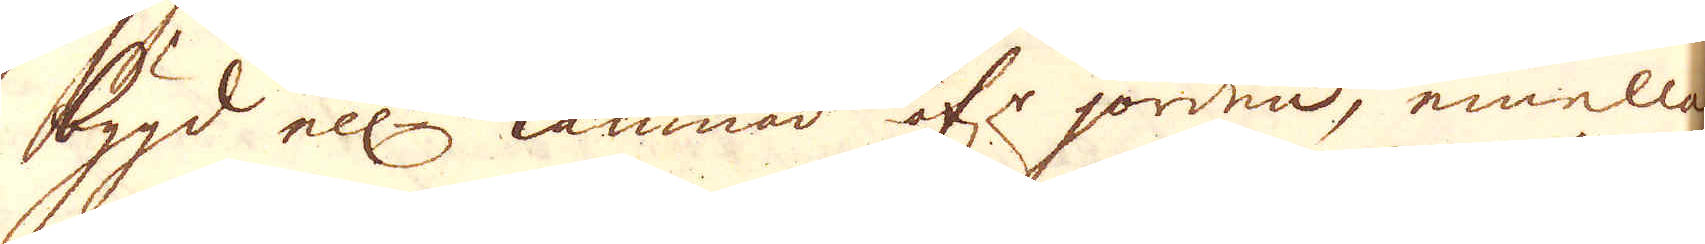bygd ell:r lämnad öf:r jorden, emellan
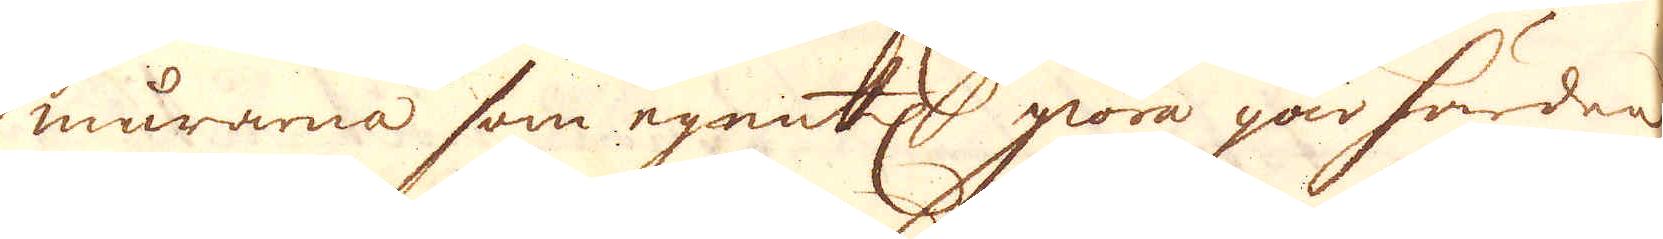murarna som egentl: giöra gårhärden,
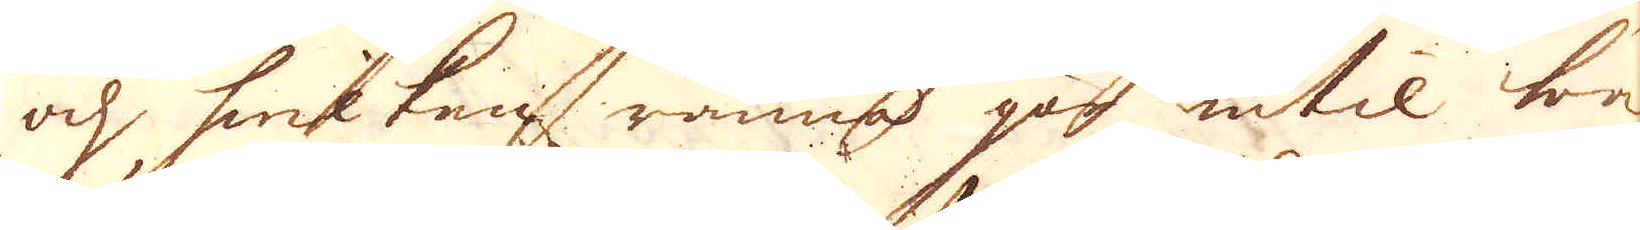och hwilken ränna går intil bak-
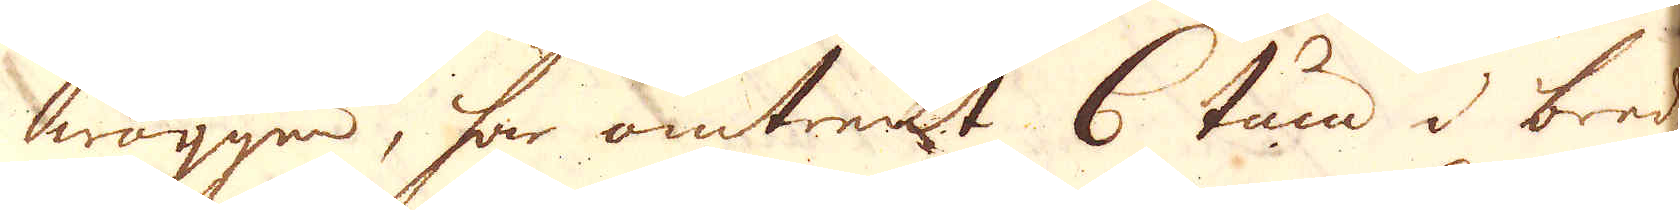wäggen, har omtrent 6 tum i bredden
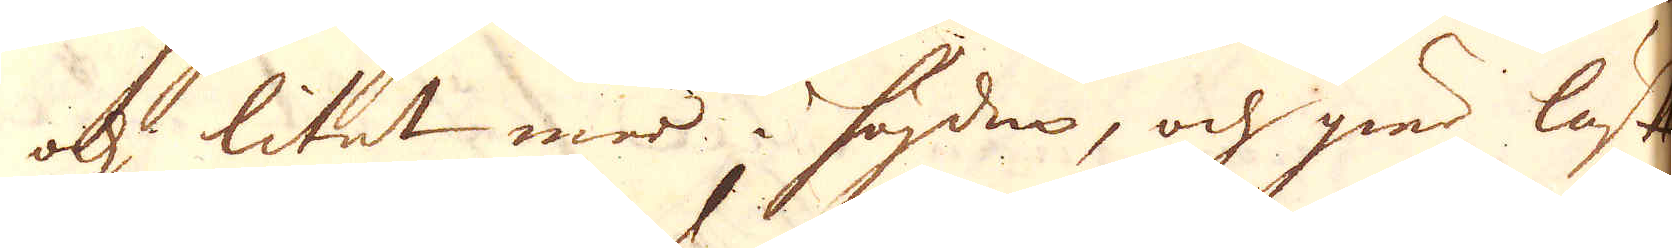och litet mer i högden, och gier luft
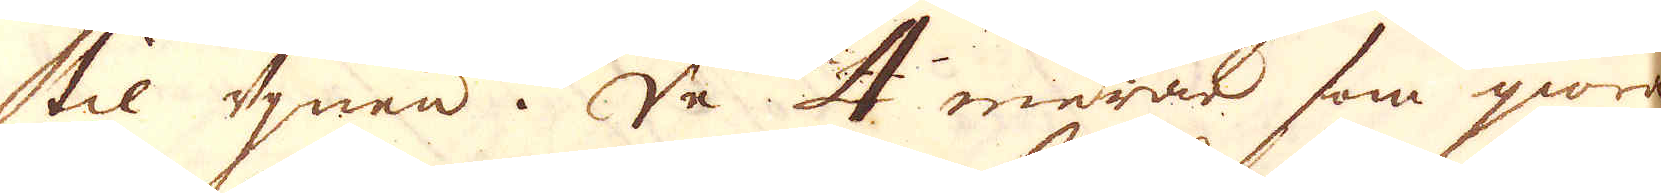til ugnen. De 4 murar som giöra
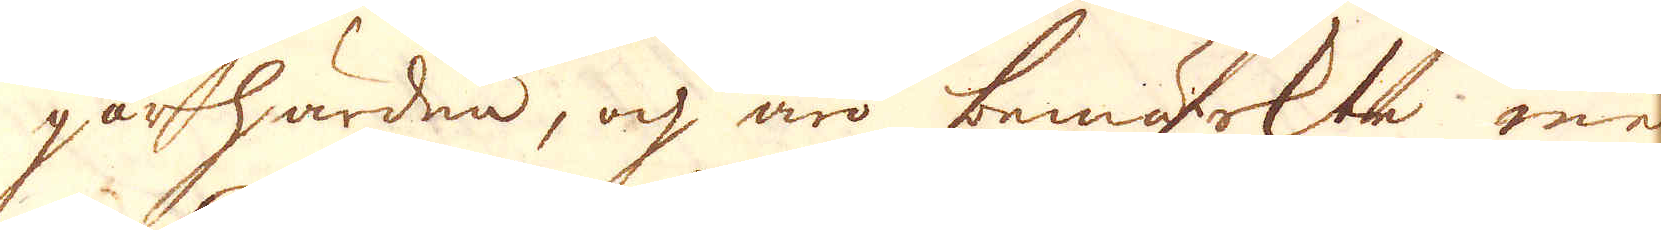gårhärden, och äro bemärkte med
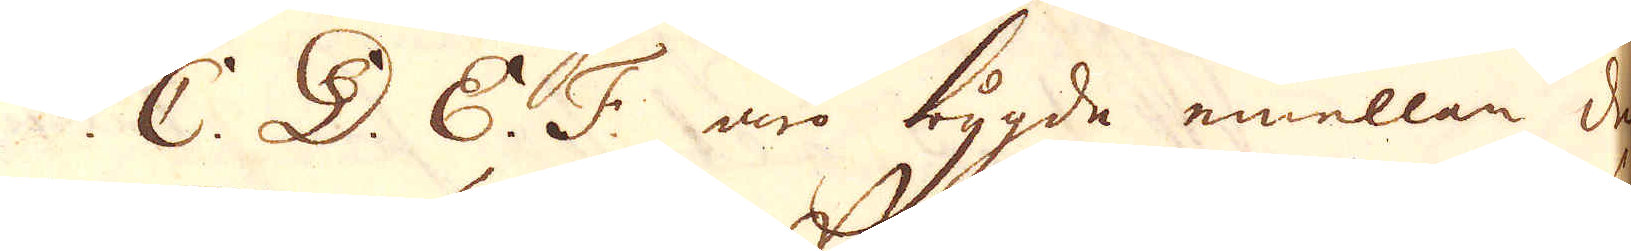C. D. E. F. äro bygde emellan den
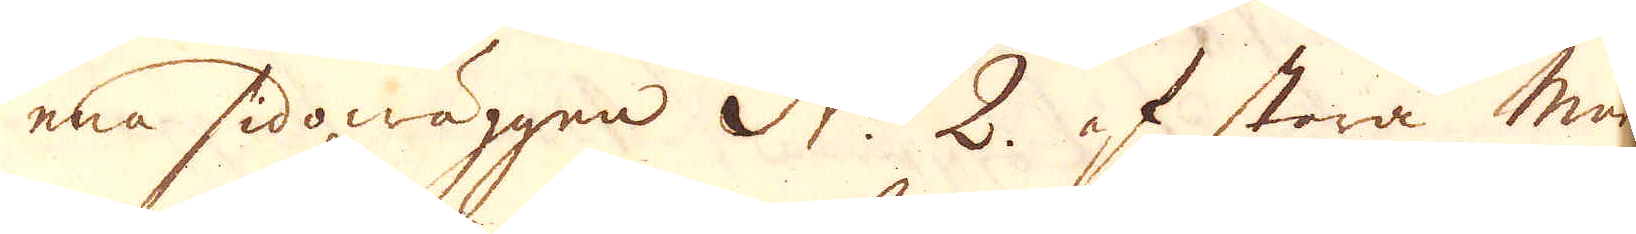ena sidowäggen N:o 2. af stora muren
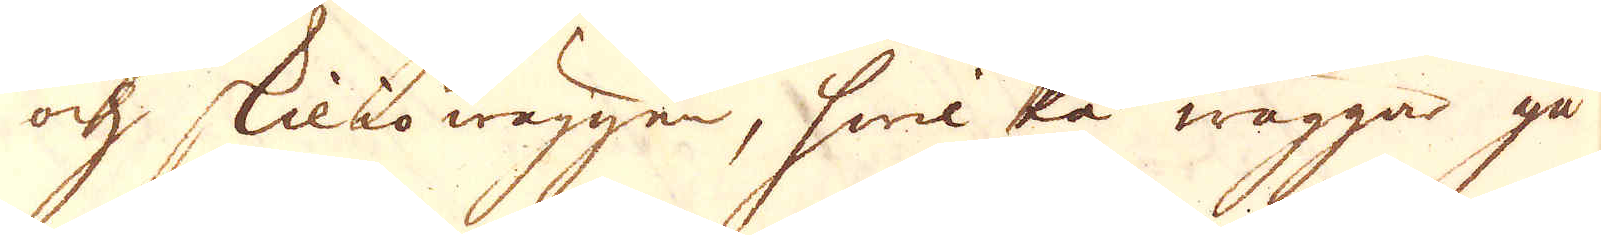och skiliowäggen, hwilka wäggar gå
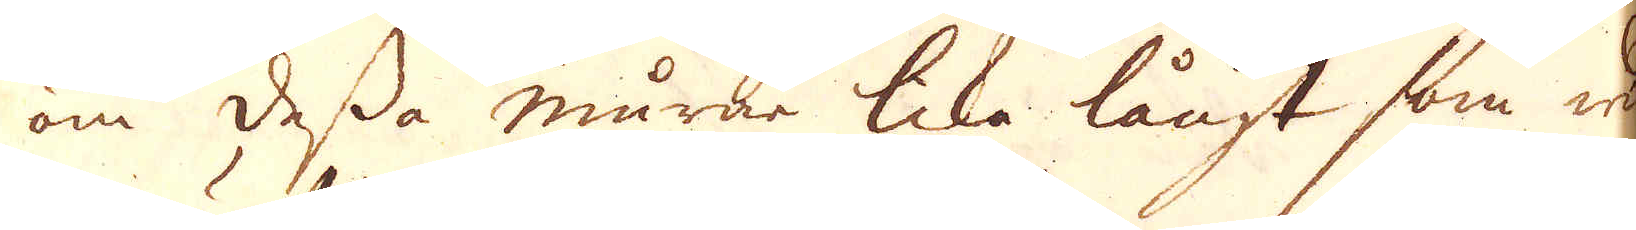om dessa murar lika långt som wid
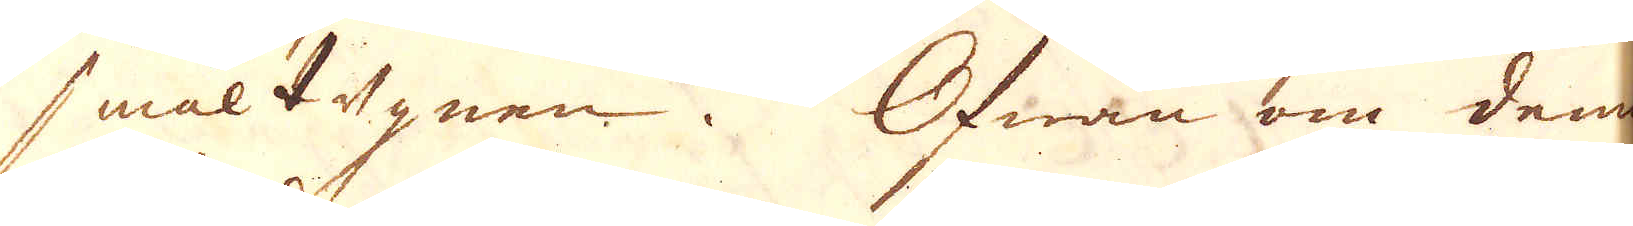smältugnen. Ofwan om denne
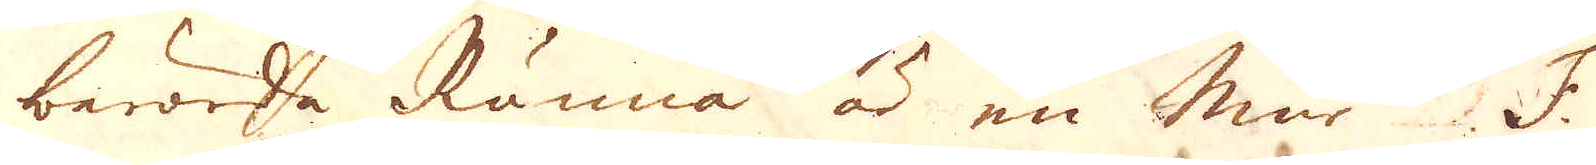berörda Ränna är en mur F.
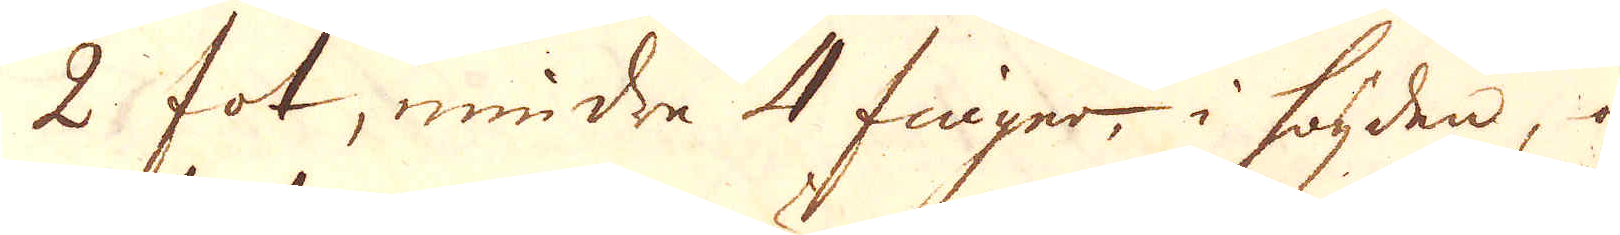2 fot, mindre 4 finger, i högden, och
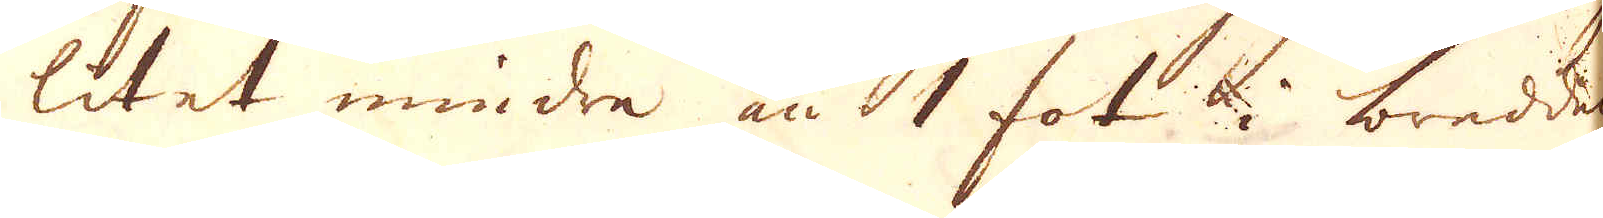litet mindre än 1 fot i bredden,
